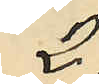2:
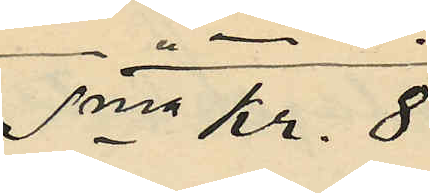Sma Kr. 8:
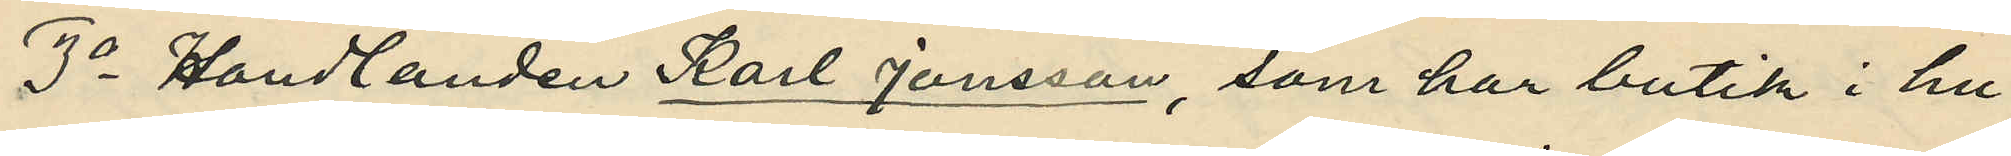3o Handlanden Karl Jonsson, som har butik i hu¬
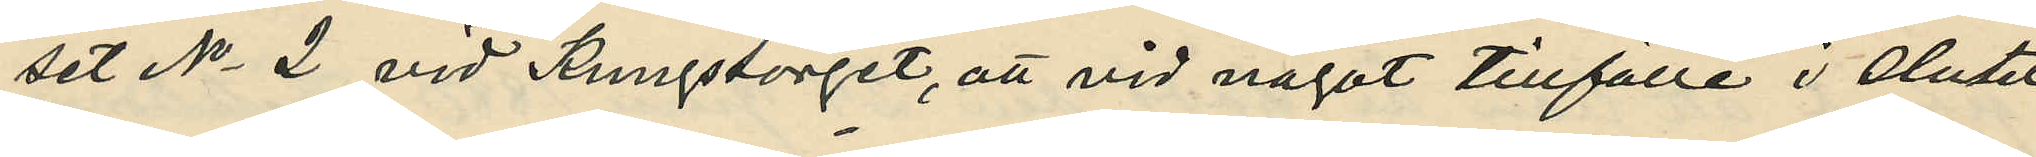set No 2 vid Kungstorget, att vid något tillfälle i slutet
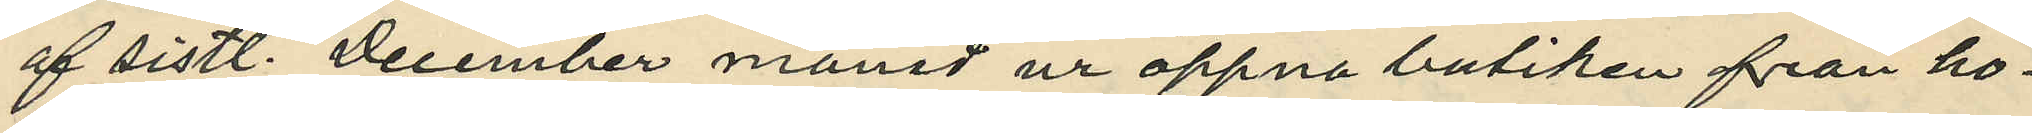af sistl. December månad ur öppna butiken från ho¬
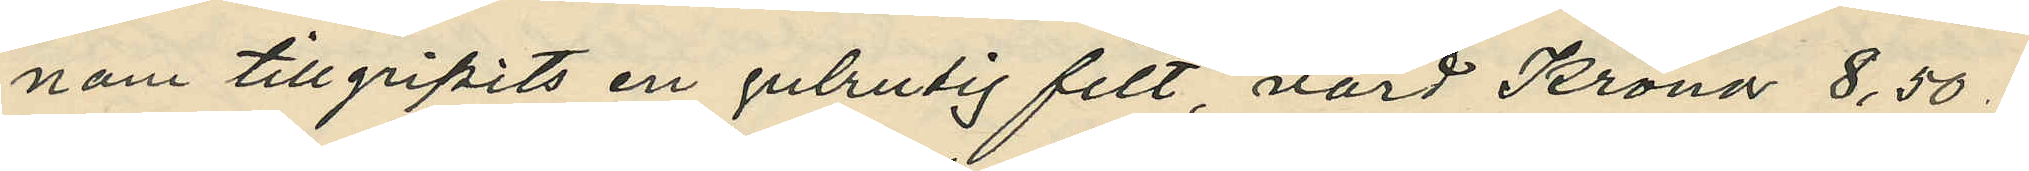nom tillgripits en gulrutig filt, värd Kronor 8,50;
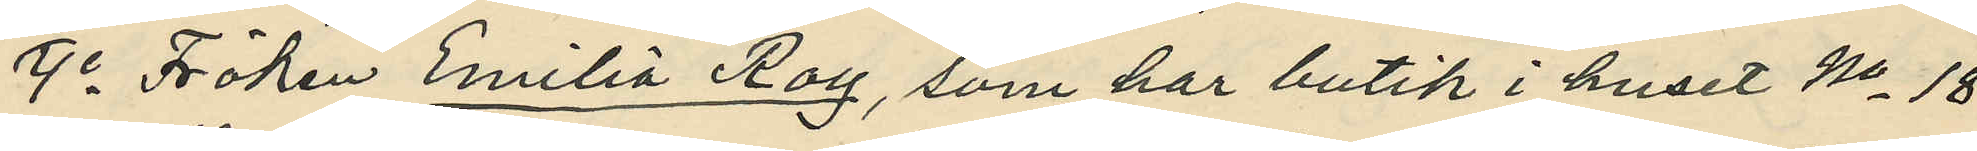9o Fröken Emilia Roy, som har butik i huset No 18
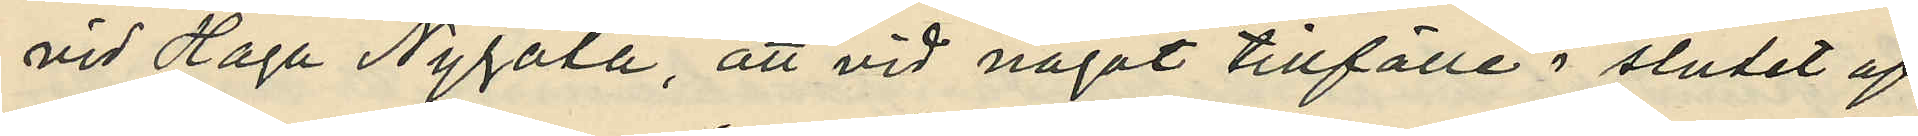vid Haga Nygata, att vid något tillfälle i slutet af
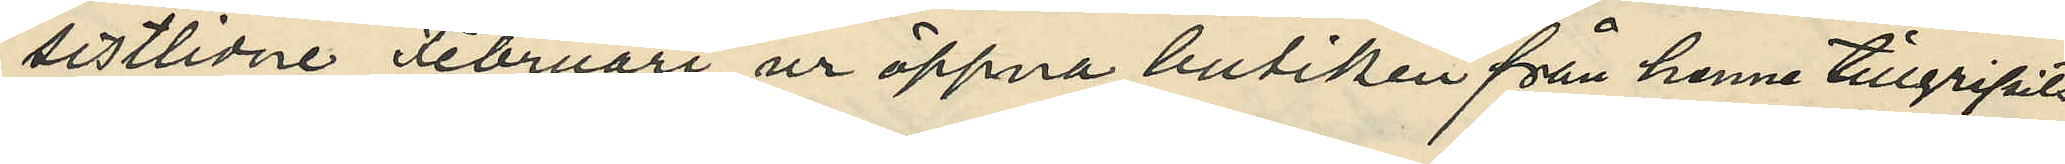sistlidne Februari ur öppna butiken från henne tillgripits:
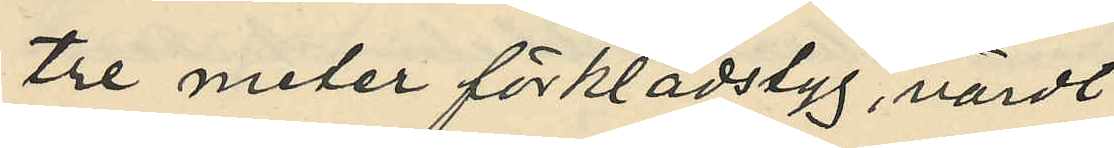tre meter förklädstyg, värdt
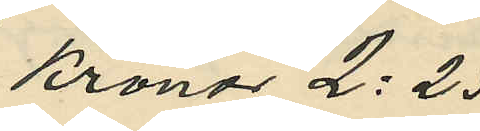Kronor 2:25
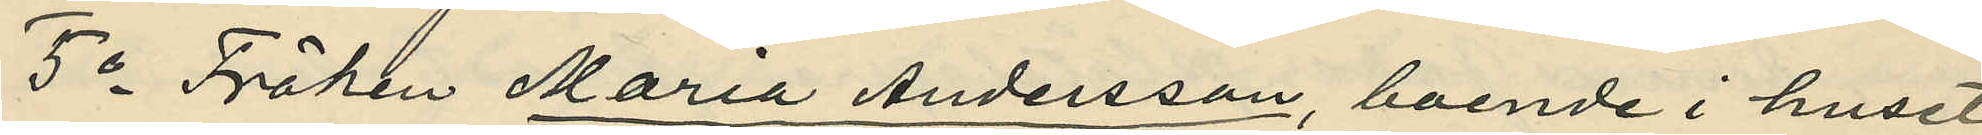5o Fröken Maria Andersson, boende i huset
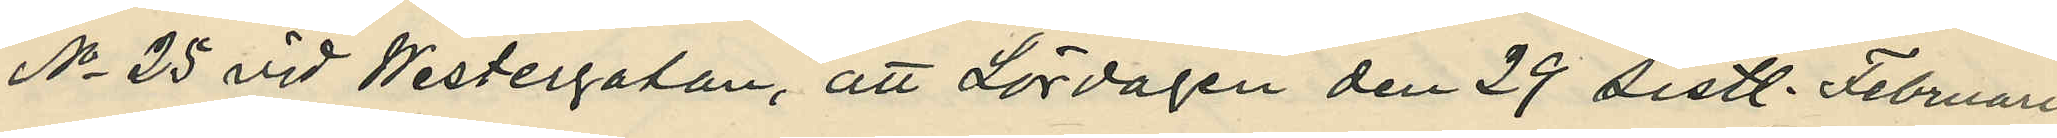No 25 vid Westergatan, att Lördagen den 29 sistl. Februari
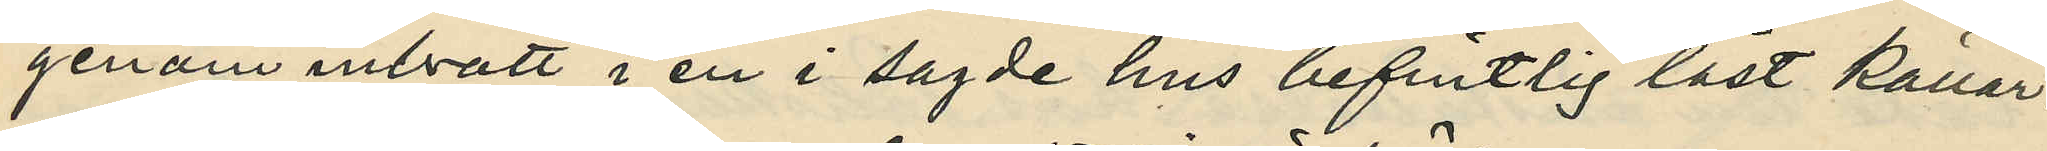genom inbrott i en i sagde hus befintlig låst källar¬
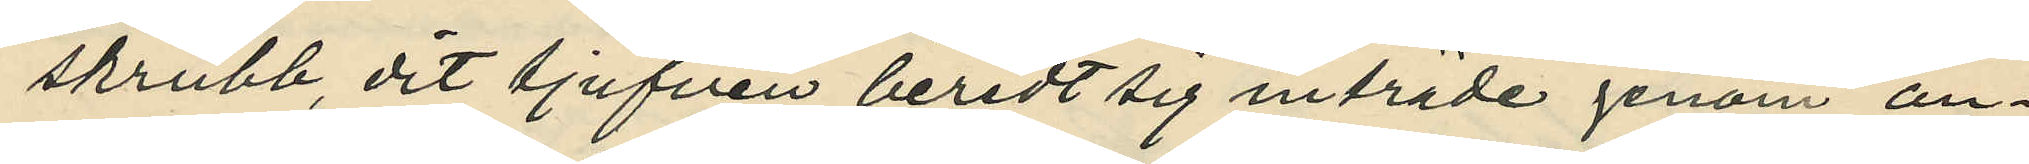skrubb, dit tjufven beredt sig inträde genom an¬
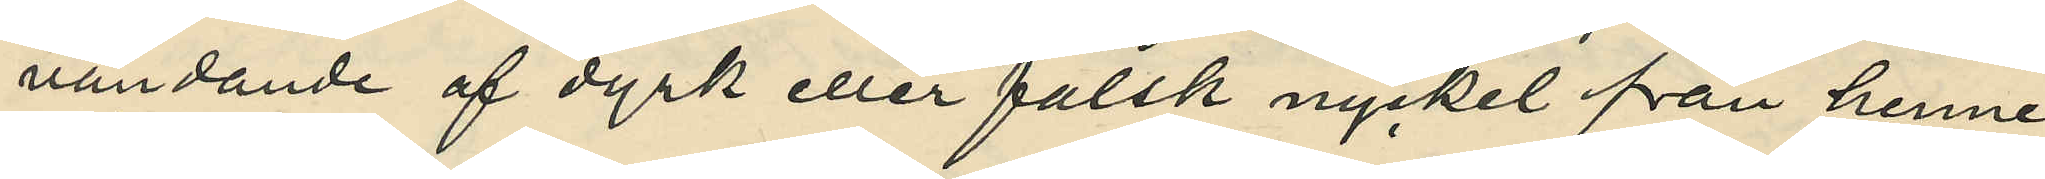vändande af dyrk eller falsk nyckel från henne
